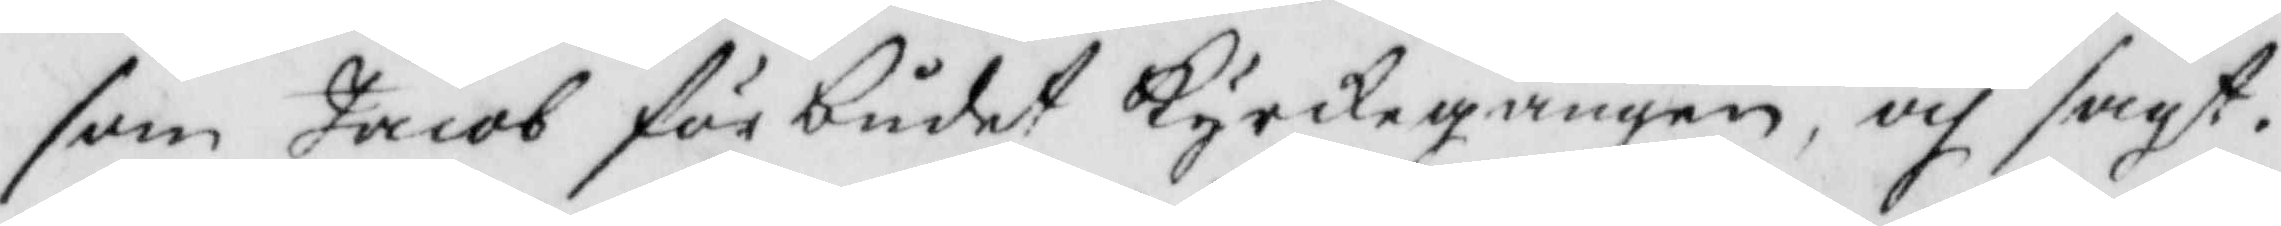som Jacob förbudat Kyrkegången, och sagt,
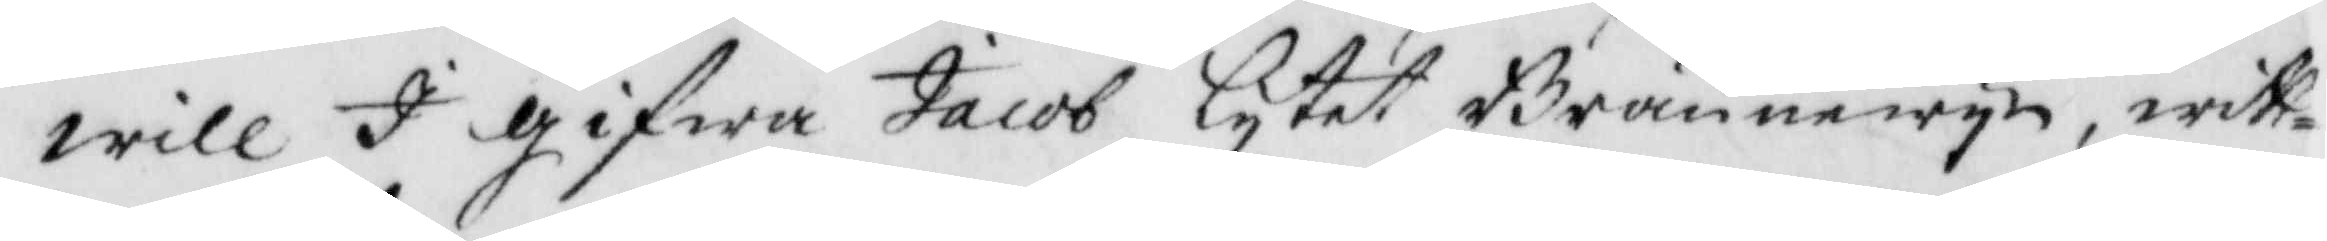wille I gifwa Jacob lytet Brännewyn, witt¬
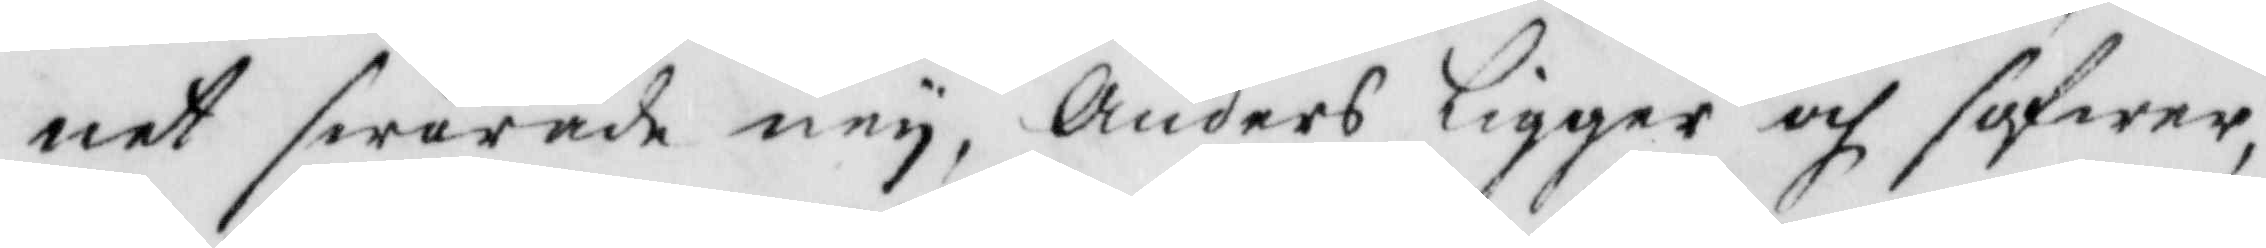net swarade ney, Anders ligger och sofwer,
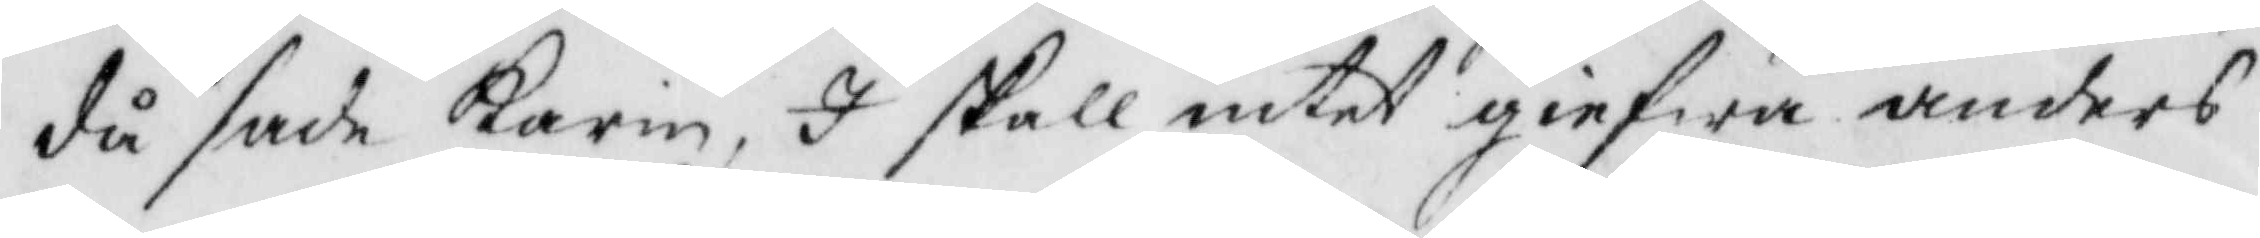då sade karin, I skall intet gifwa anders
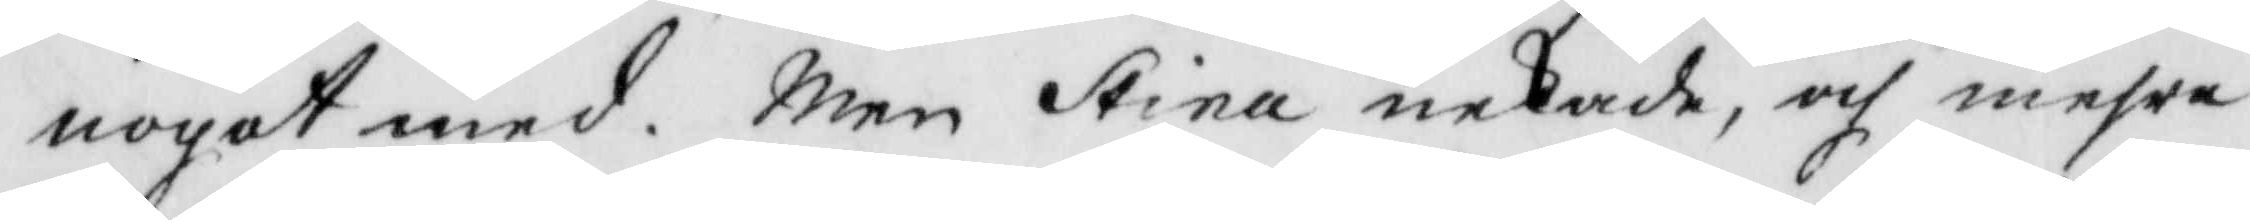nogot med. Men Stina nekade, och mehra
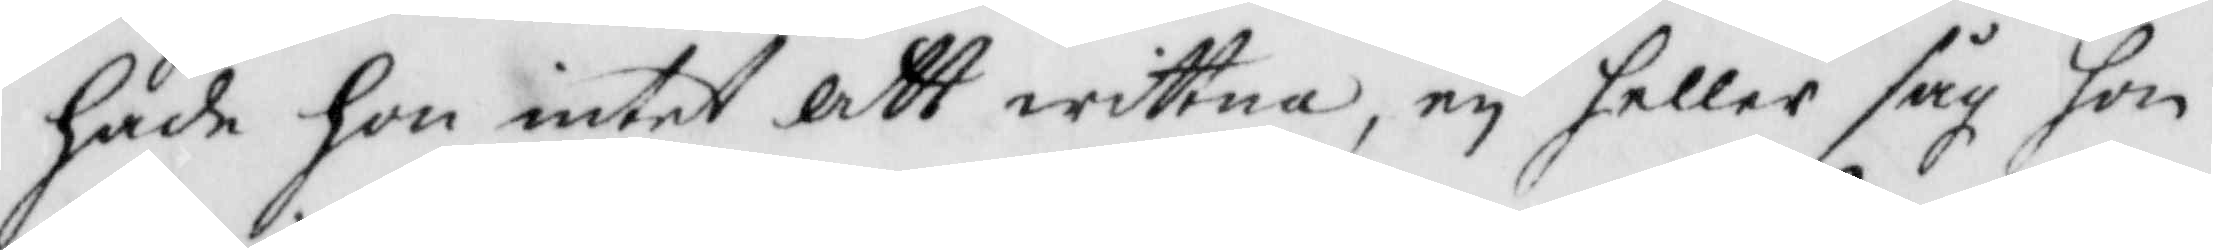hade hon intet att wittna, ey heller såg hon
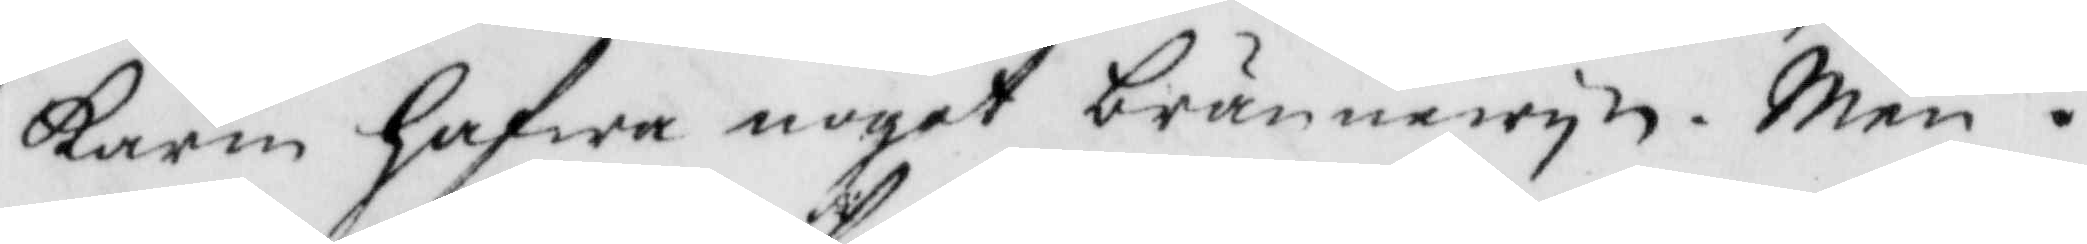karin hafwa noget brännwyn. men i
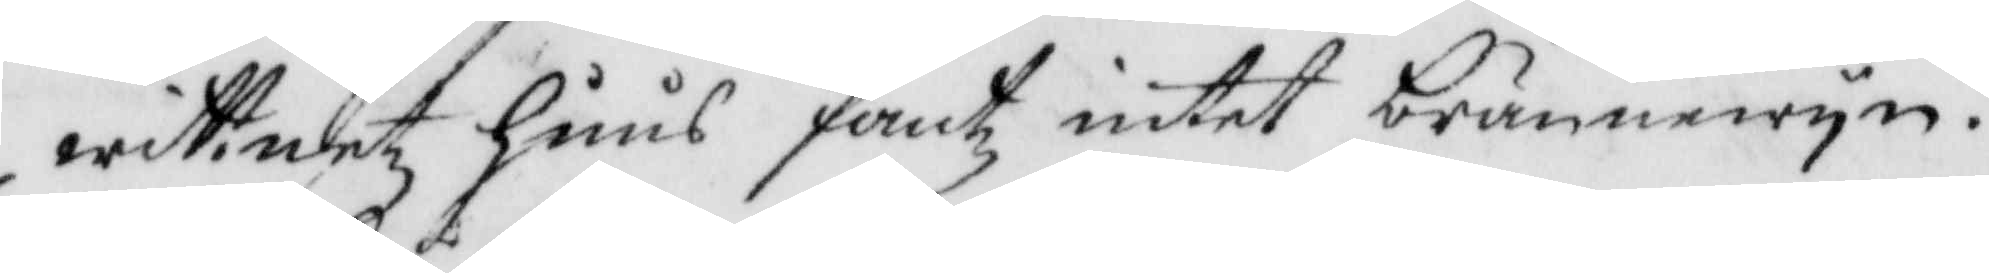wittnetz huus fantz intet brännewyn.
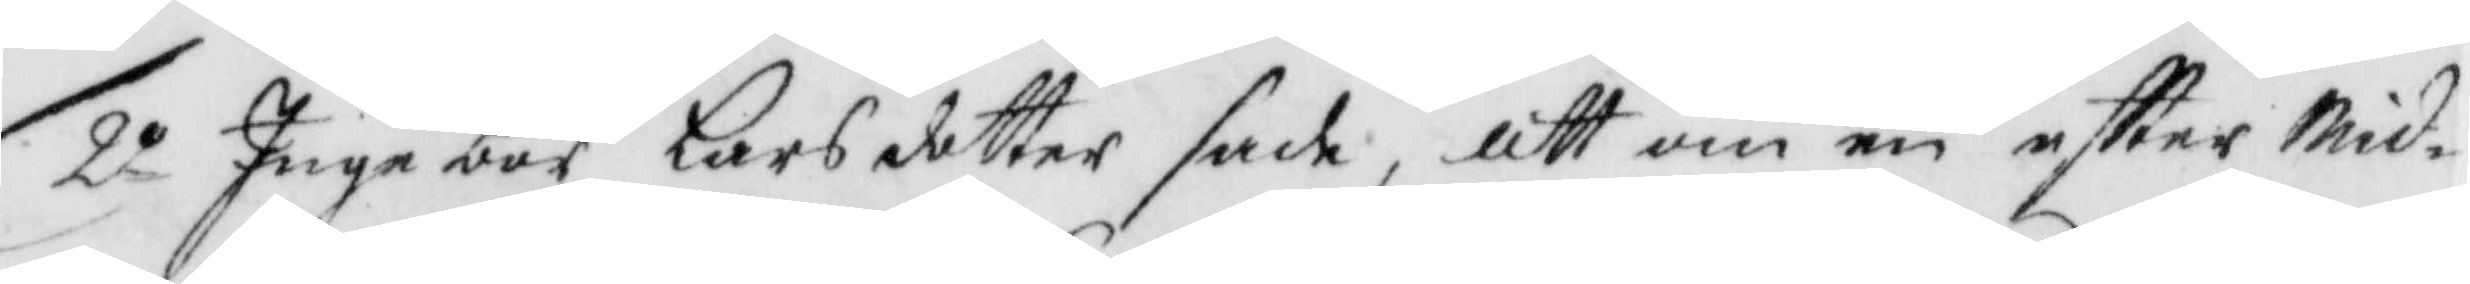2o Ingebor Larsdotter sade, att om en eftter Mid¬
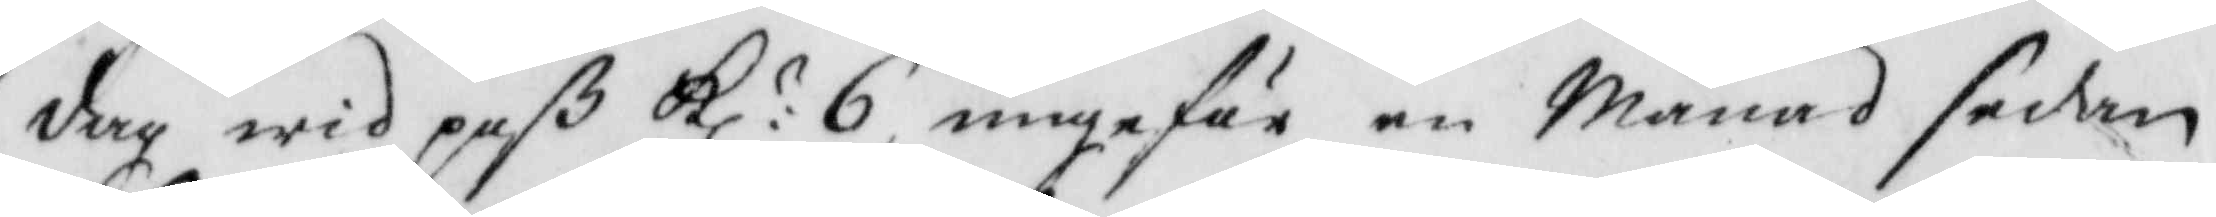dag wid paß kl: 6, ungefär en Månad sedan
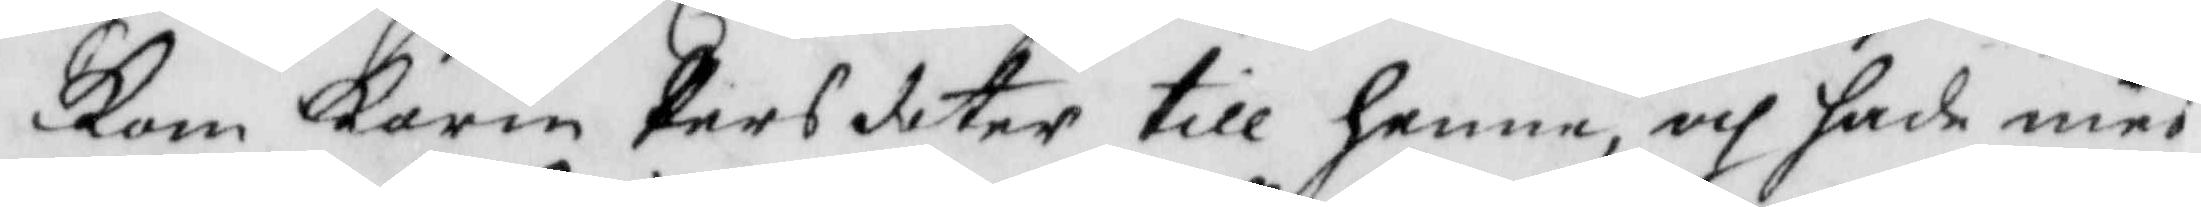Kom karin Persdotter till henne, och hade med
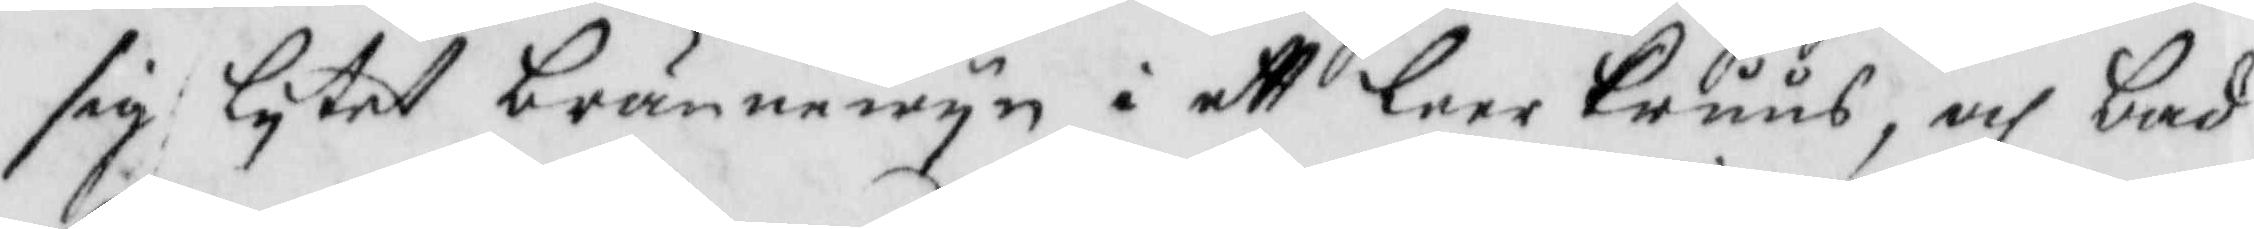sig lytet brännewyn i ett lerrKruus, och bad
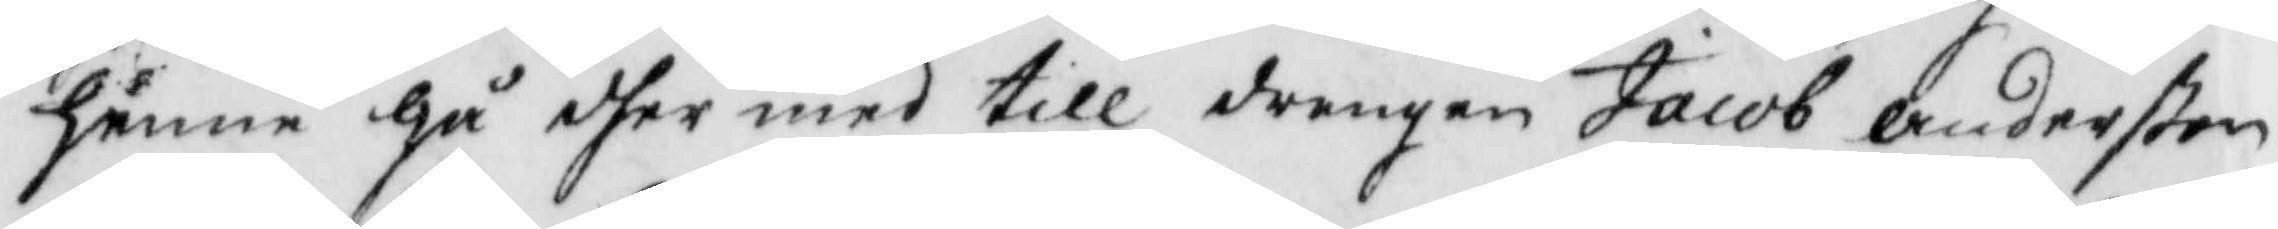henne gå dher med till drengen Jacob Anderßon
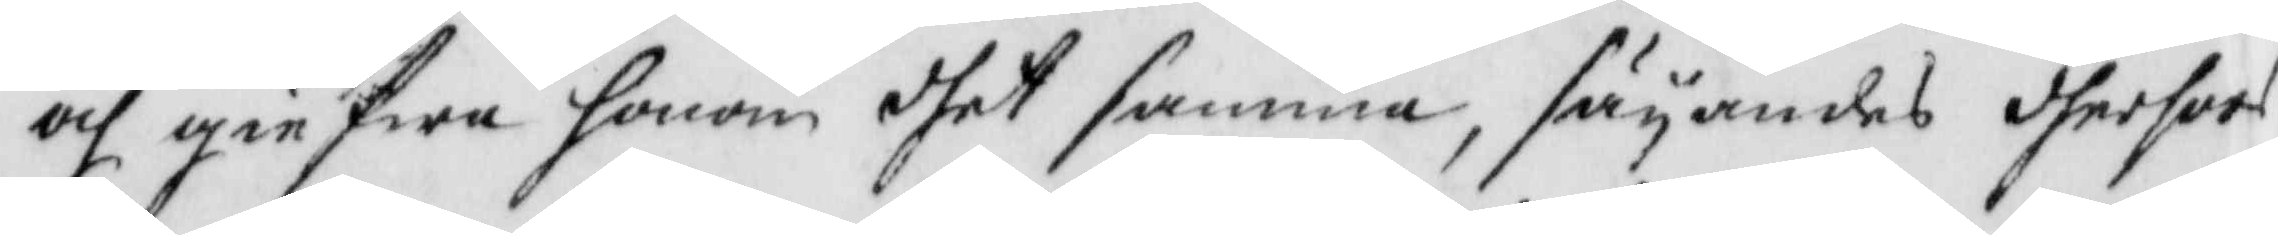och gifwa honom dhet samma, säynades derhoos
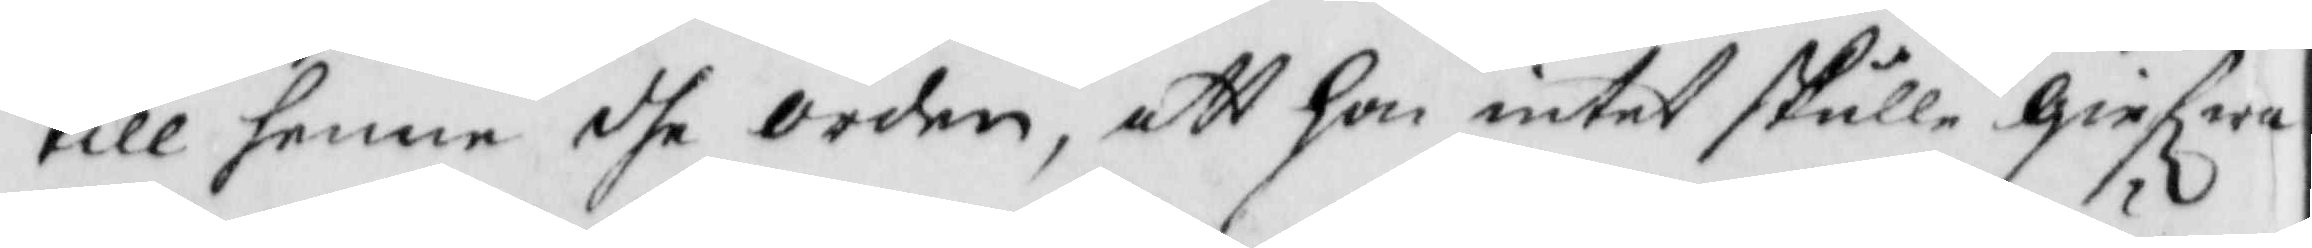till henne dhe orden, att hon intet skulle Giefwa
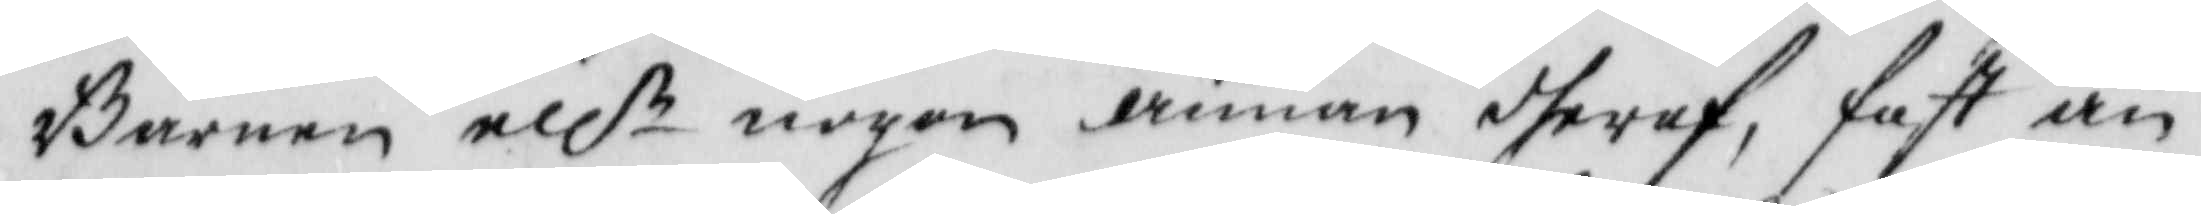Barnen ellr nogen annan dheraf, fast än
